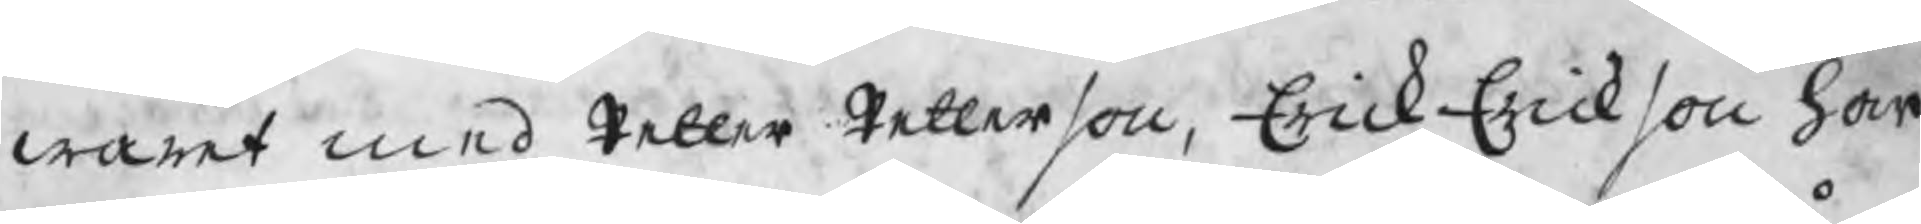waret med Petter Petterson, Erick Erickson har
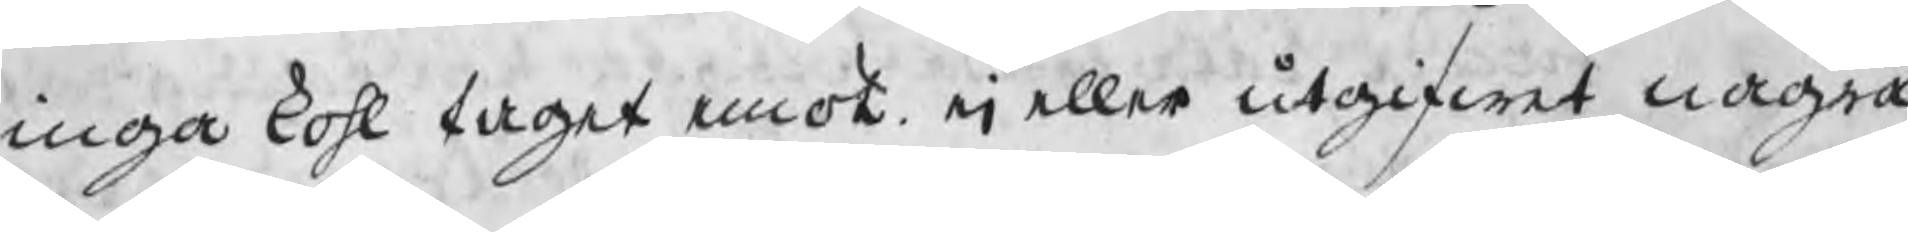inga kohl taget emot ei eller utgifwet några
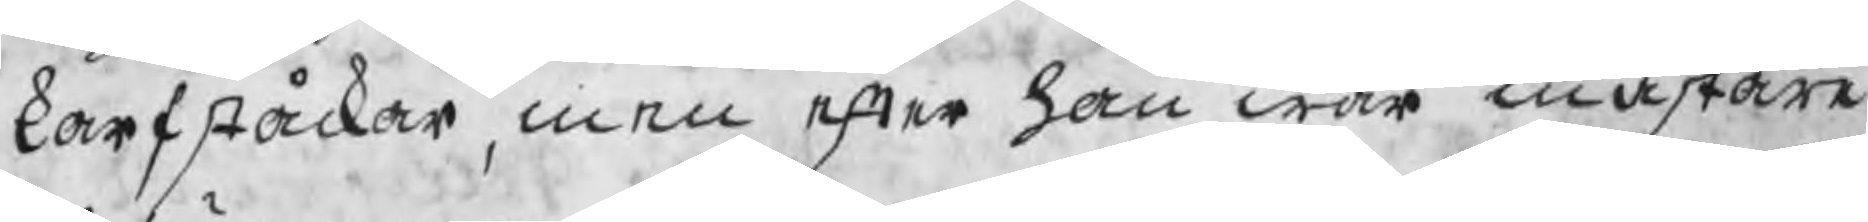karfståckar, men efter han war mästare
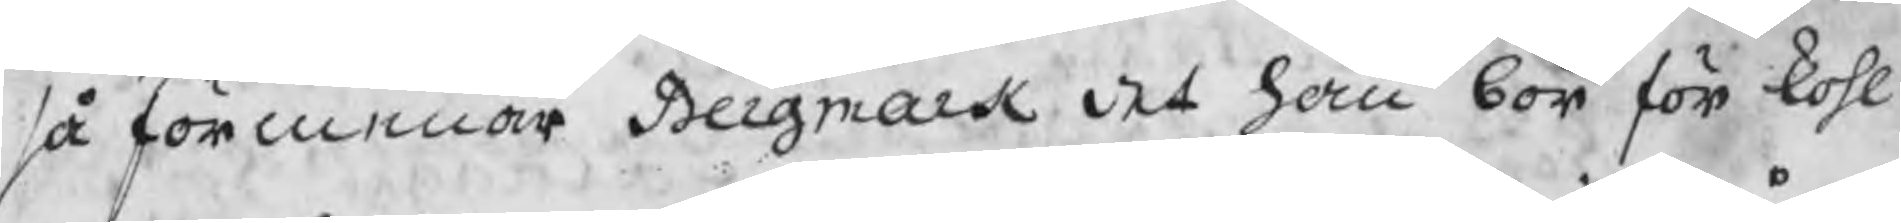så förmenar Bergmark det han bör för kohl
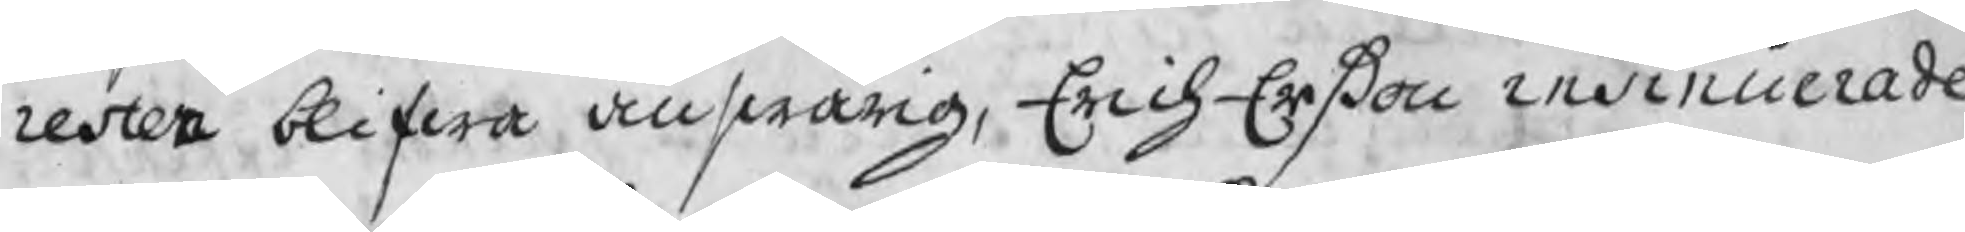resten blifwa answarig, Erich Erßon insinuerade
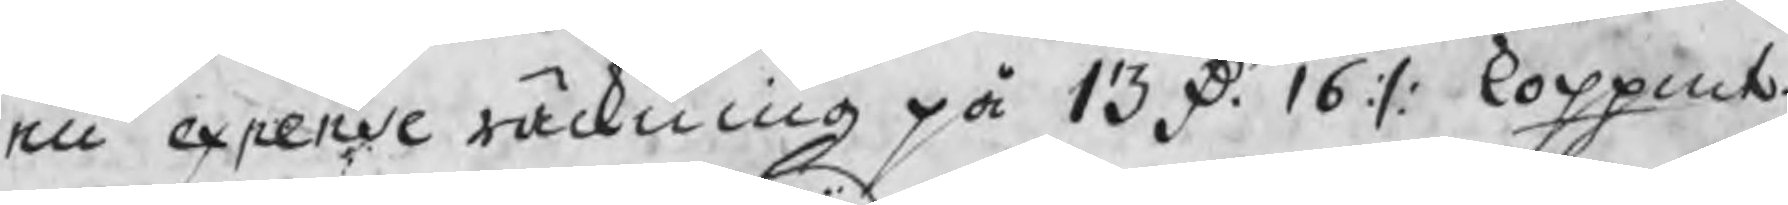en expense räckning på 13 D. 16 :/: koppmt.
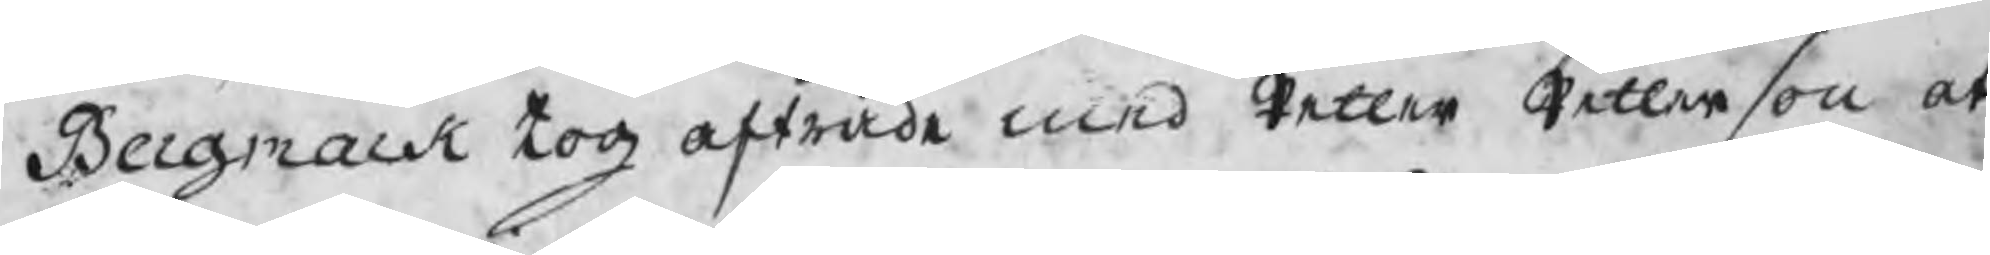Bergmark tog afträde med Petter Petterson at
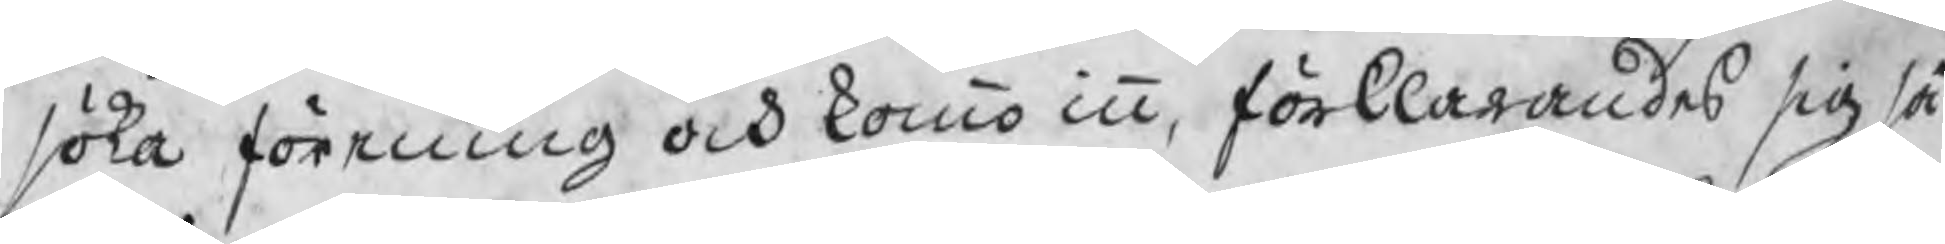söka förening och kommo inn, förklarandes sig så
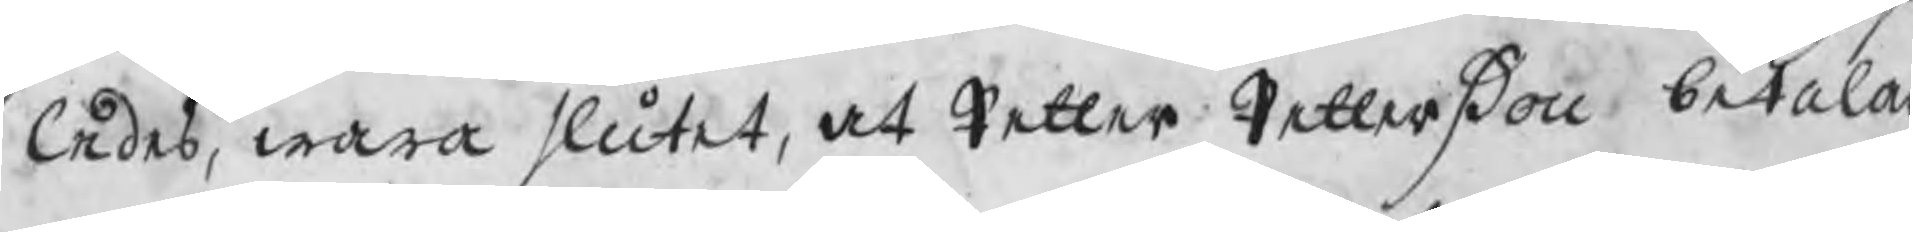ledes, wara slutet, at Petter Petterßon betalar
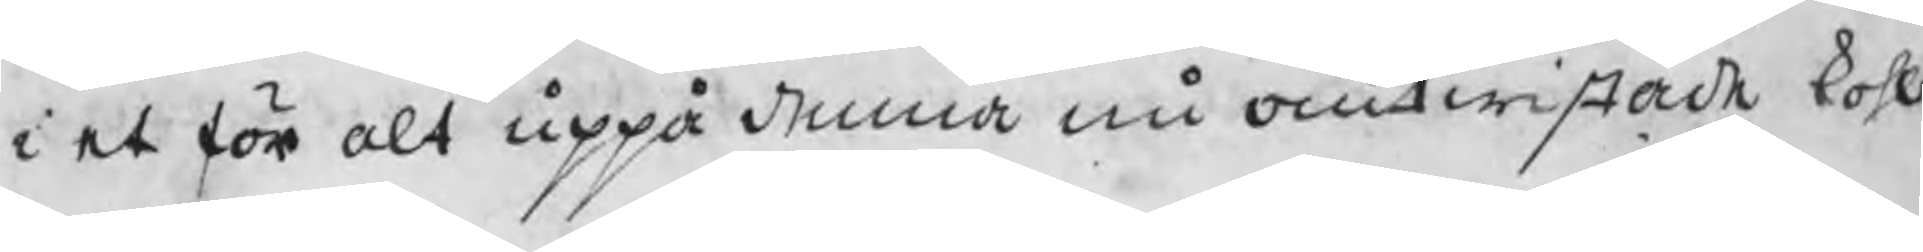i et för alt uppå denna nu omtwistade kohl
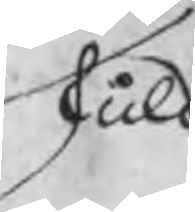skuld
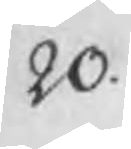20.
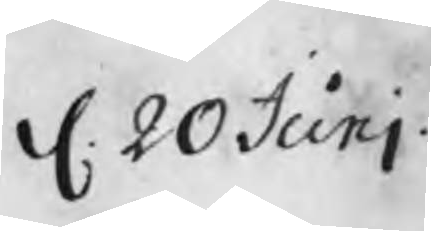d. 20 Juni.
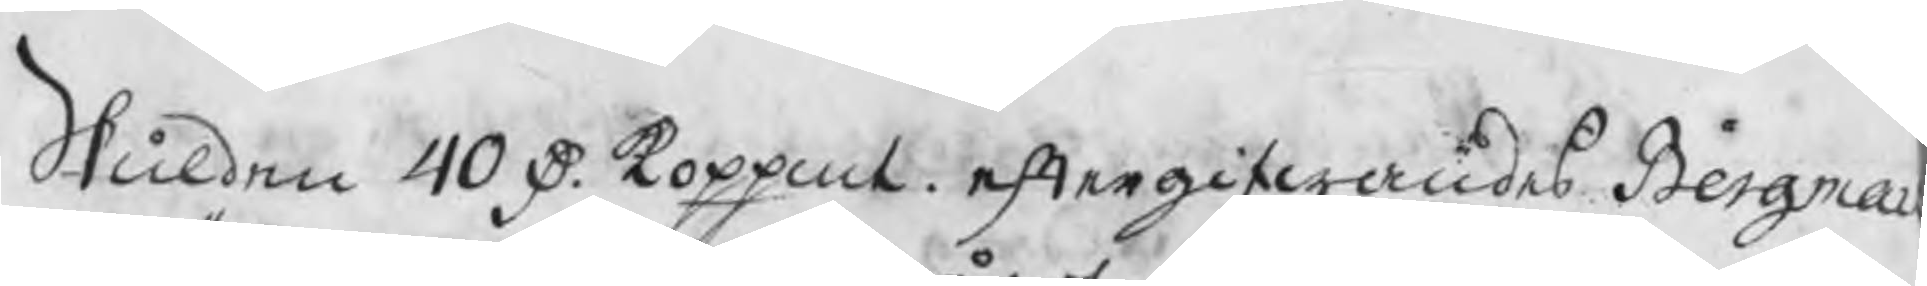Skulden 40 D. koppmt. eftergifwandes Bergmar
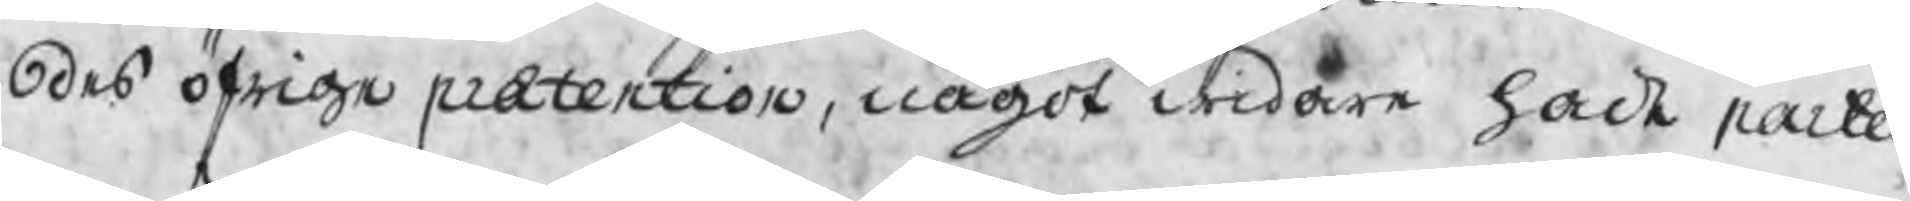des öfrige prætention, något widare hade parter
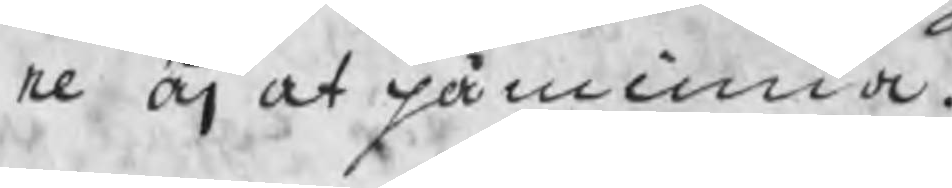ne äj at påminna.
